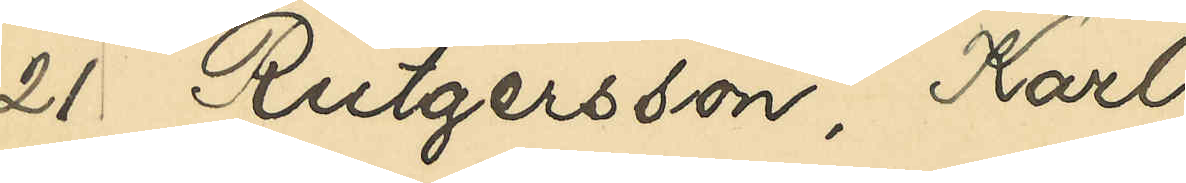21 Rutgersson, Karl
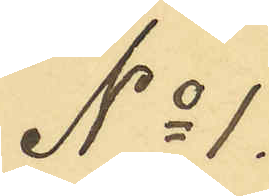No 1.
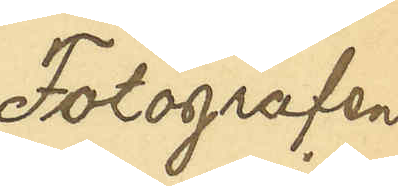Fotografen
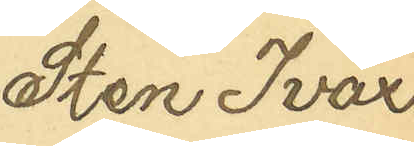Sten Ivar
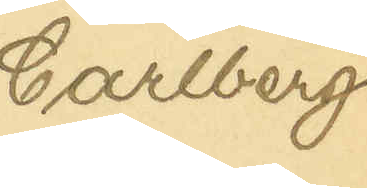Carlberg
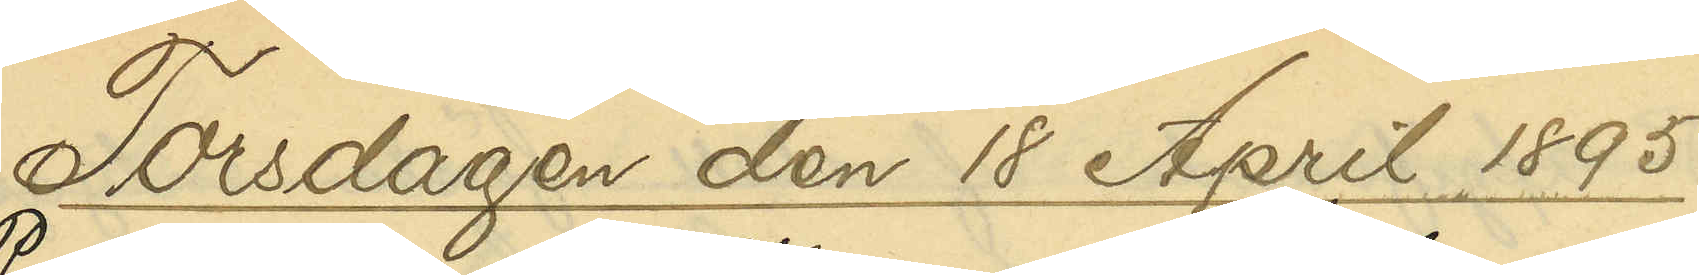Torsdagen den 18 April 1895
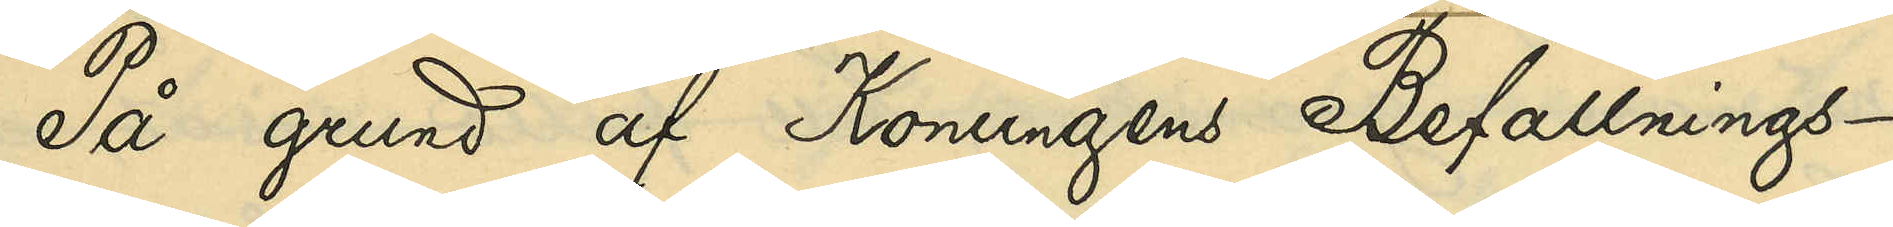På grund af Konungens Befallnings¬
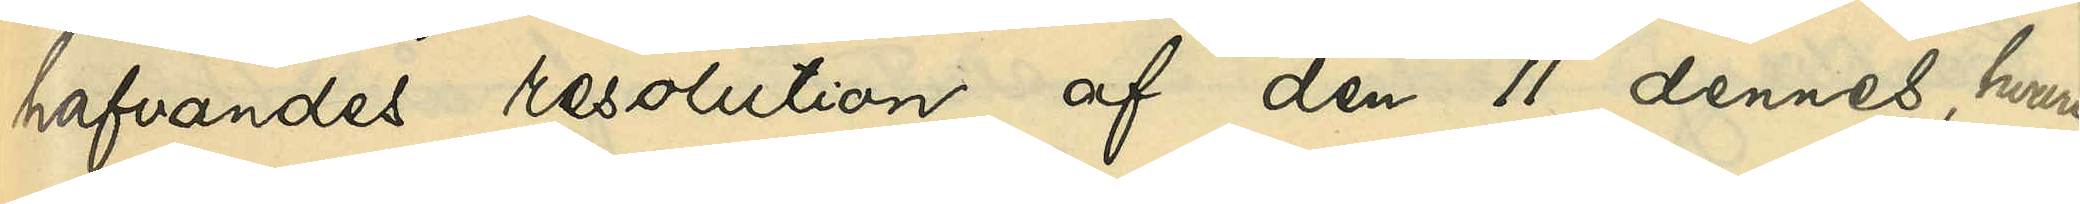hafvandes resolution af den 11 dennes, hvari¬
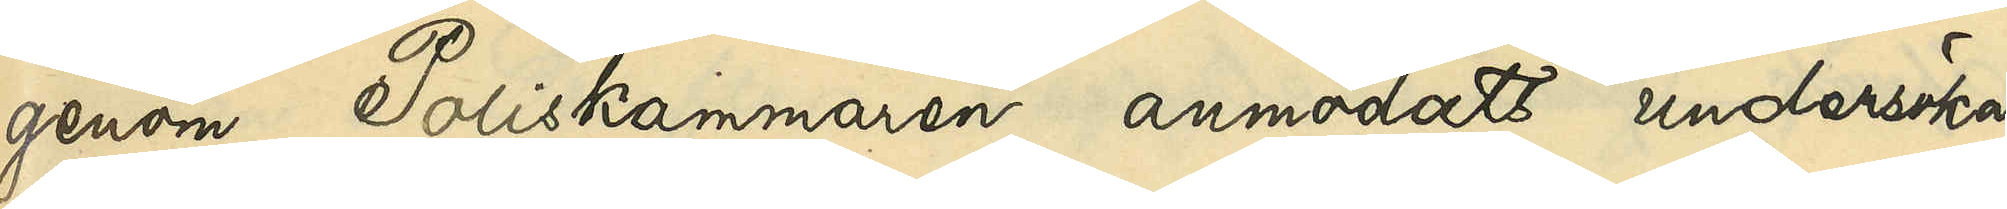genom Poliskammaren anmodats undersöka,
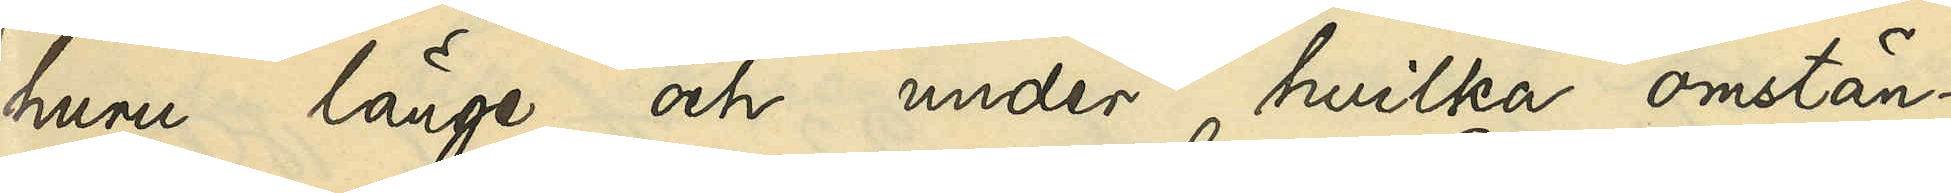huru länge och under hvilka omstän¬
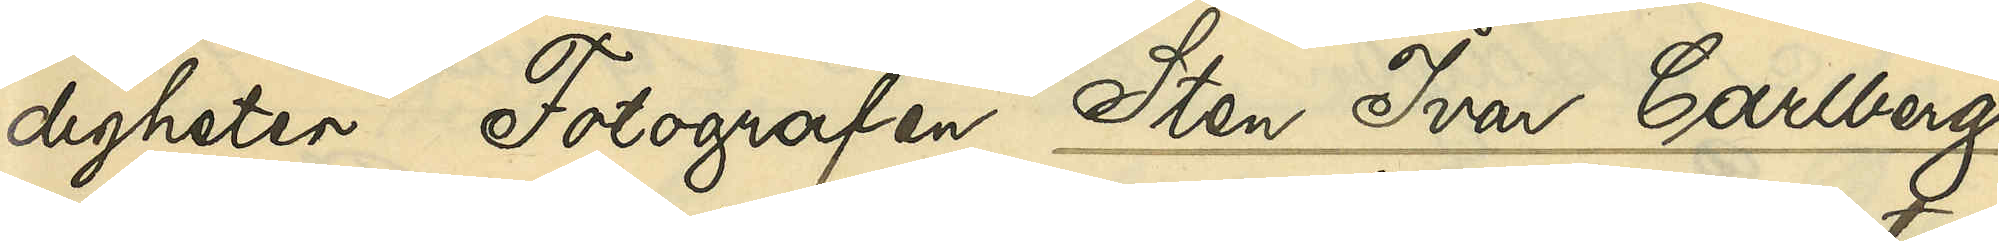digheter Fotografen Sten Ivar Carlberg
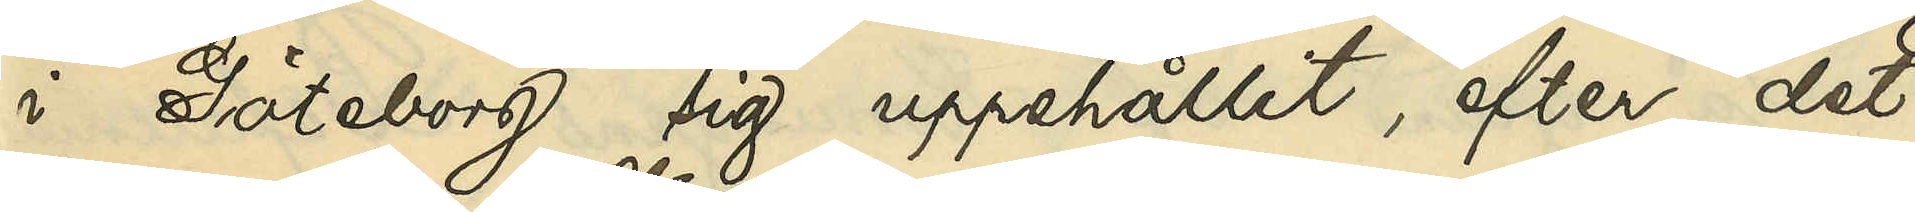i Göteborg sig uppehållit, efter det
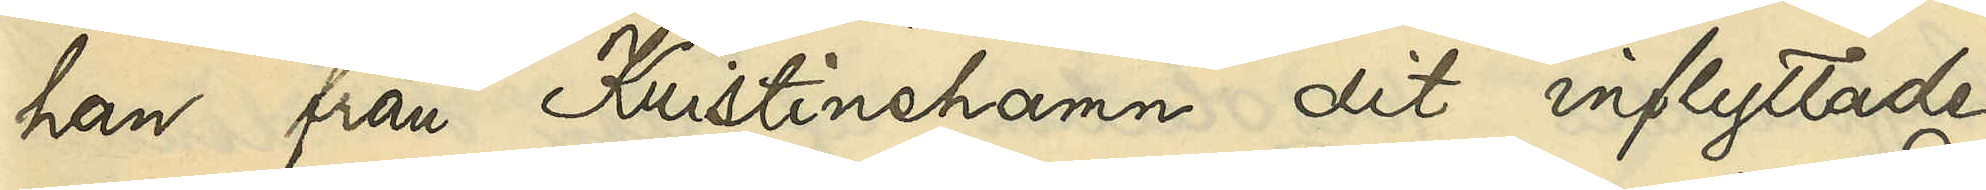han från Kristinehamn dit inflyttade
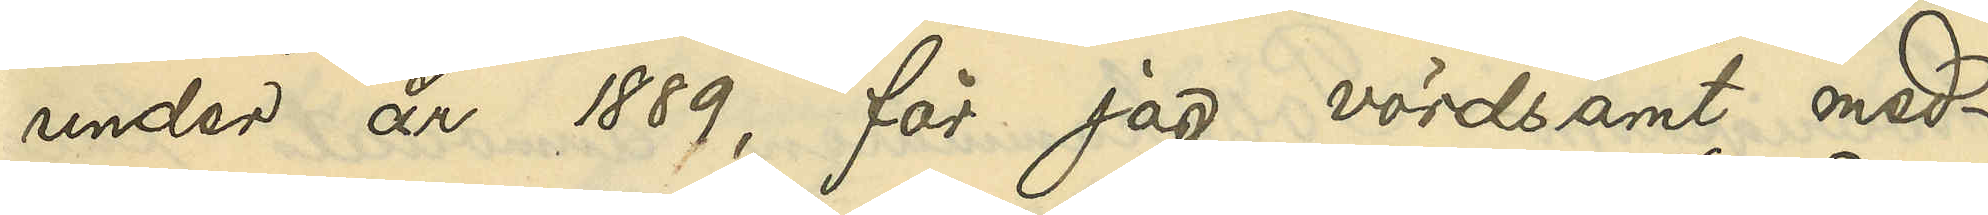under åren 1889, får jag vördsamt med¬
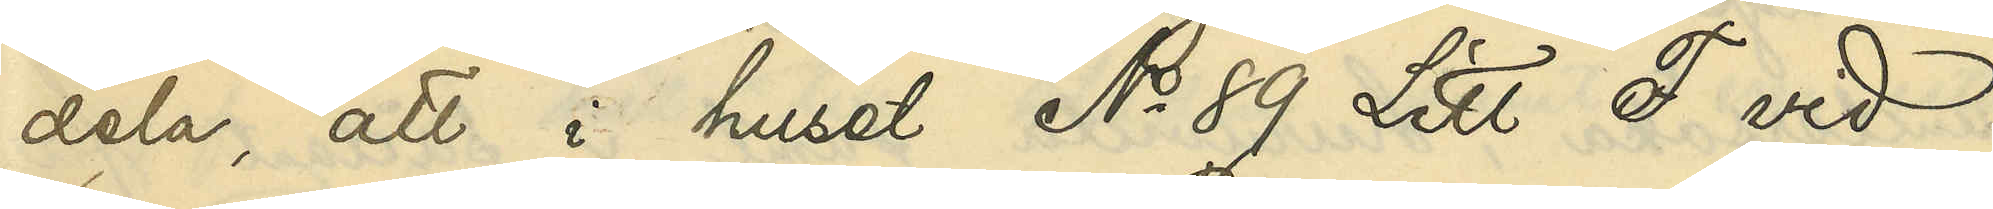dela, att i huset No 89 Litt. F vid
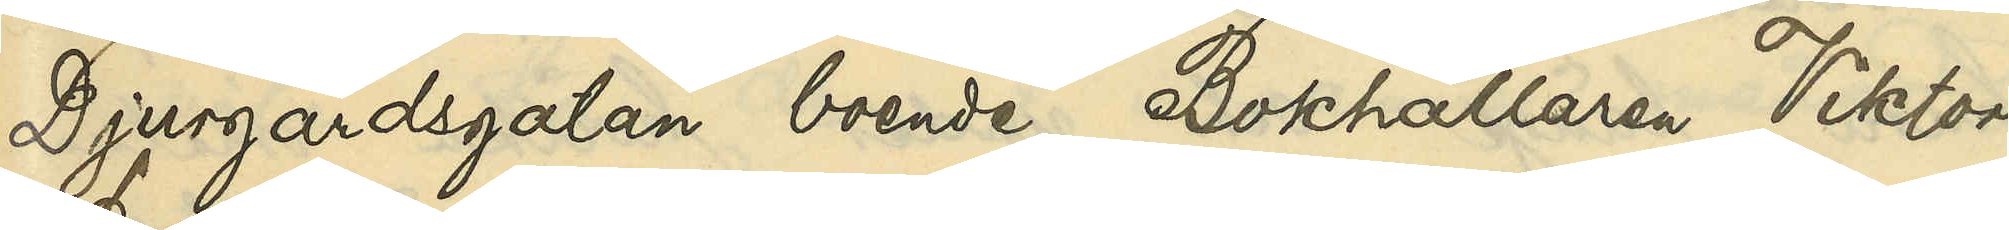Djurgårdsgatan boende Bokhållaren Viktor
